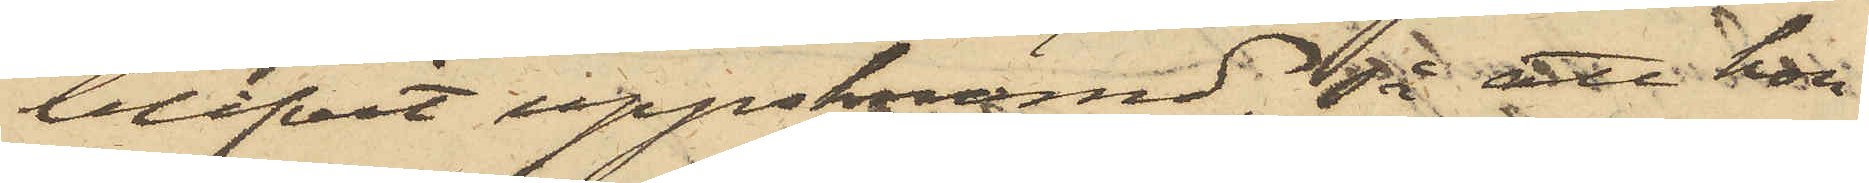blifvit uppskrämd, så att hon
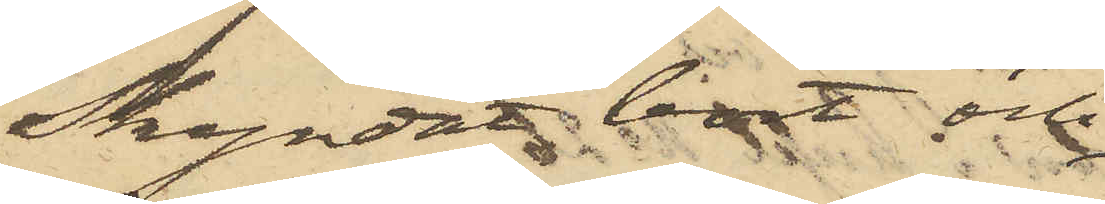Skyndat bort och
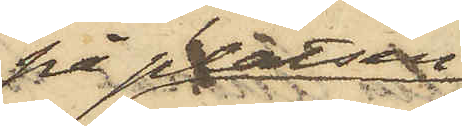på platsen
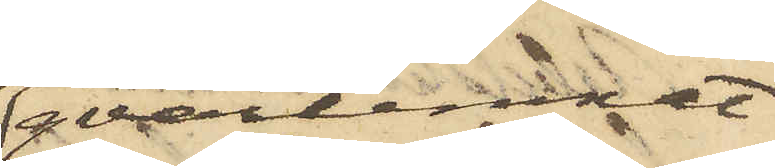qvarlemnat
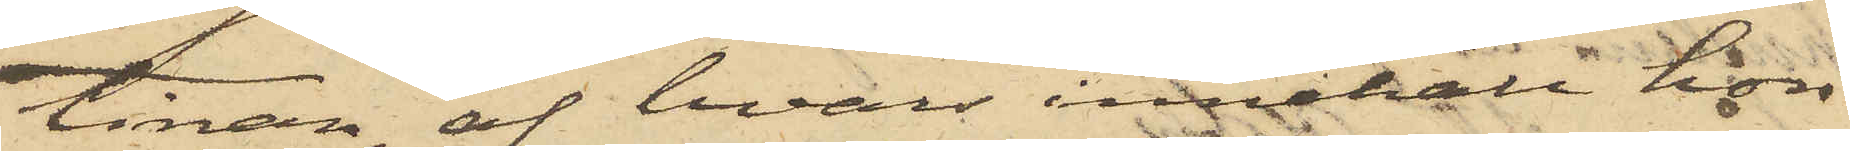tinan, af hvars innehåll hon
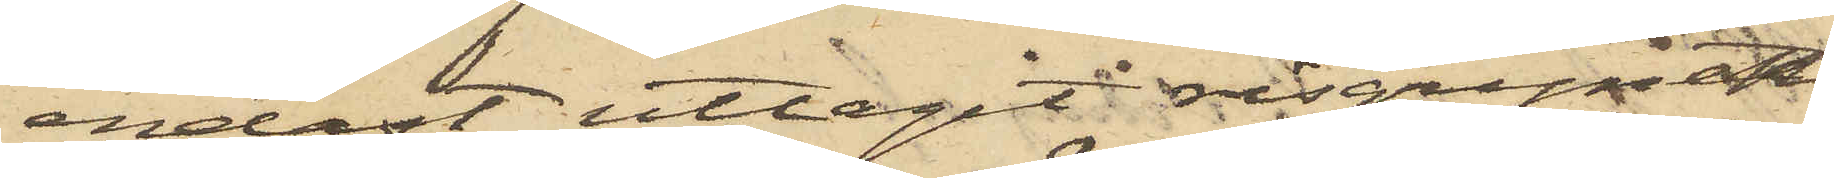endast uttagit risgrynet,
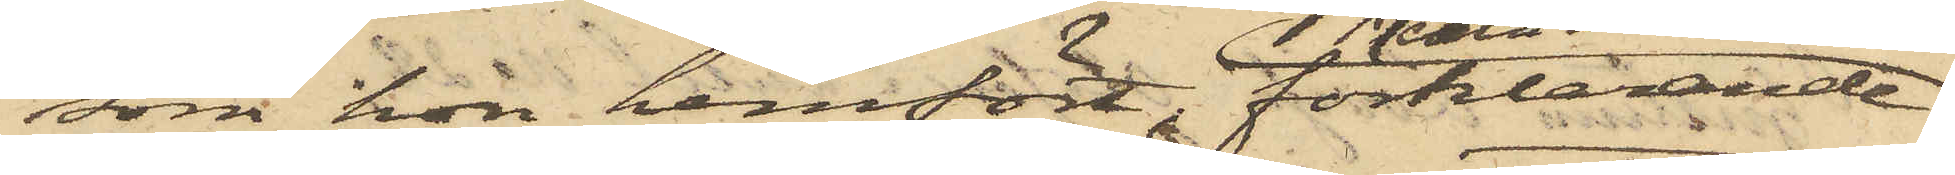som hon hemfört, förklarande
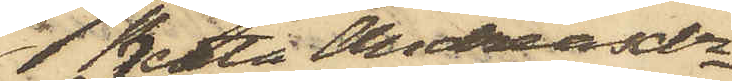Beata Andreasdr
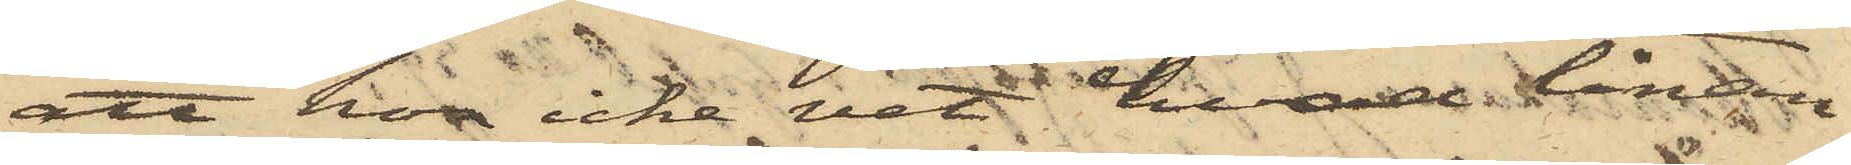att hon icke vet hvad tinan
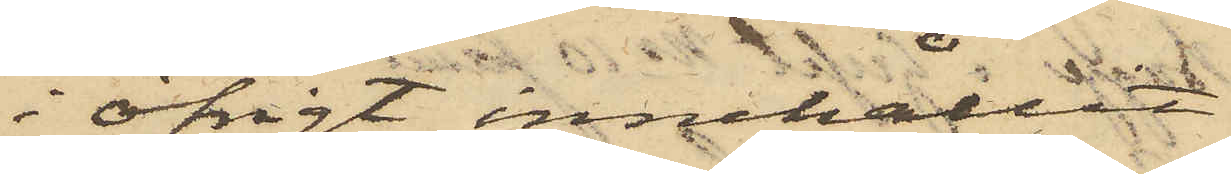i öfrigt innehållit.
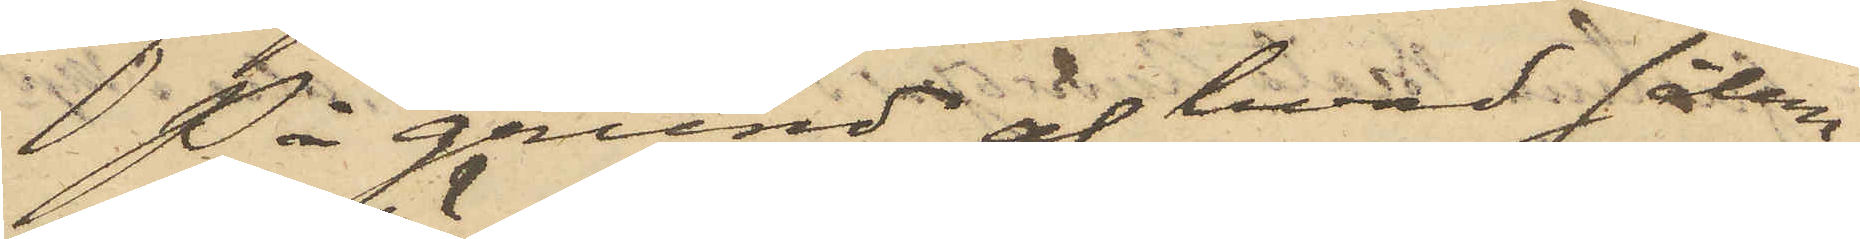På grund af hvad sålun¬
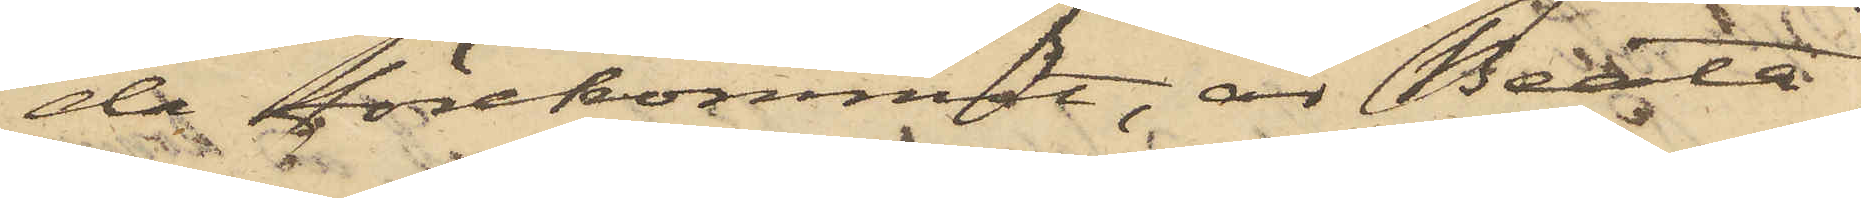da förekommit, är Beata
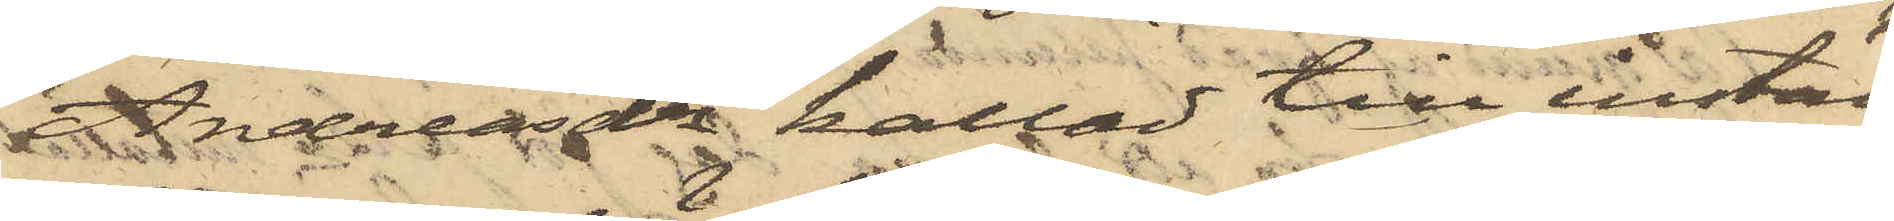Andreasdr kallad till instäl¬
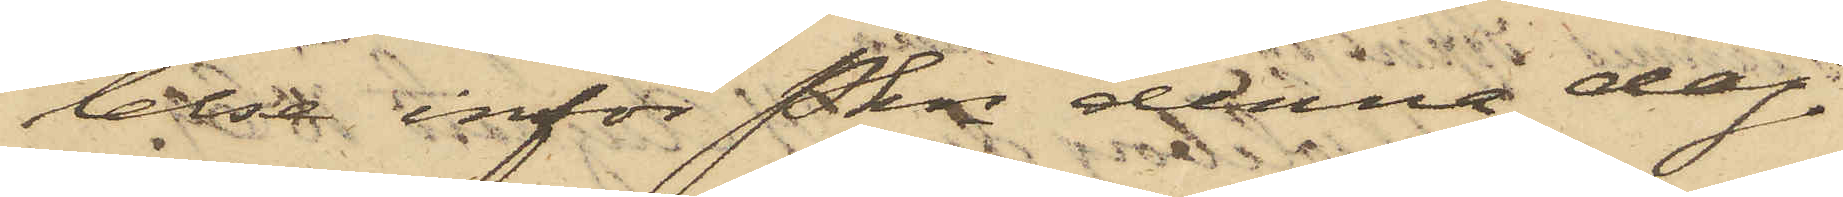lelse inför Pkn denna dag.
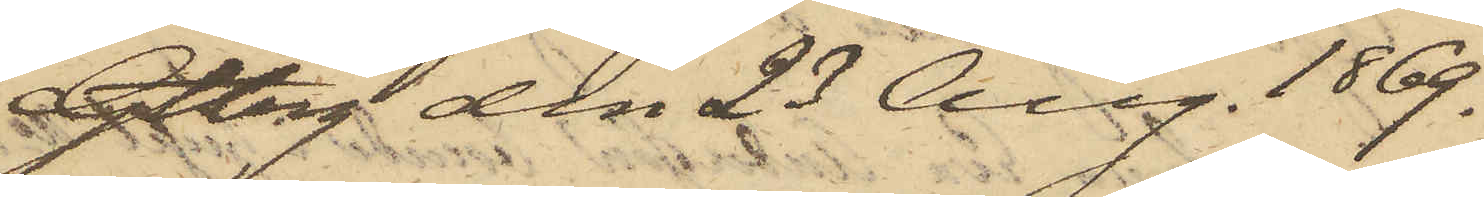Gtbrg den 23 Aug. 1869.
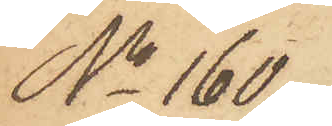No 160.
